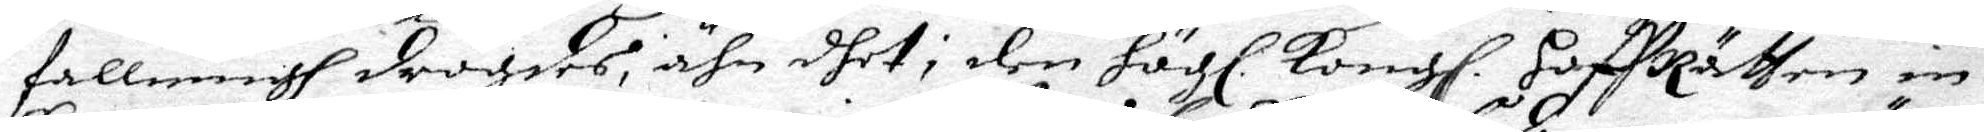fallningh drögdes, ähn dhet i den Högl. Kongl. HoffRätten in-
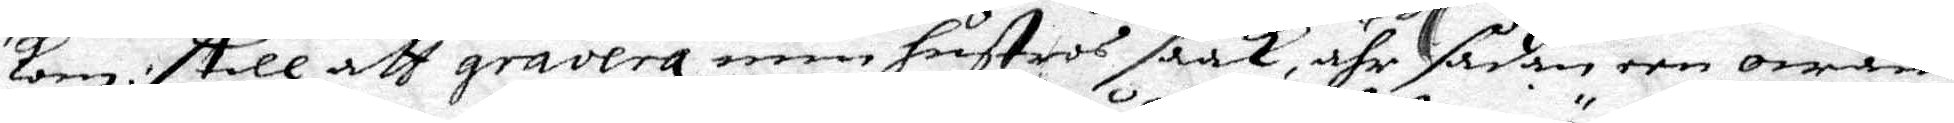kom :/ still att gravera min hustros saak, ähr sådan een owäns
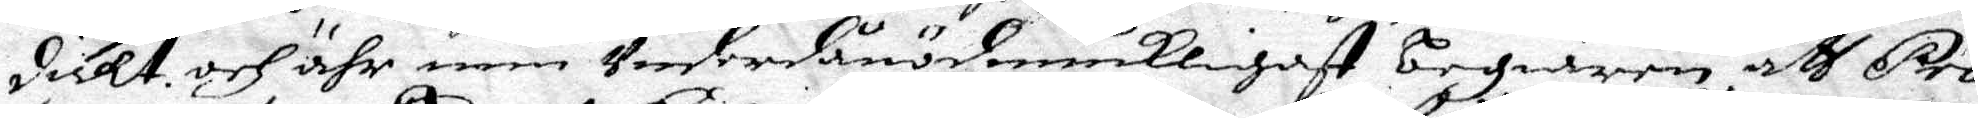dicht, och ähr min Underdånödmiukligast begiären att Pro¬
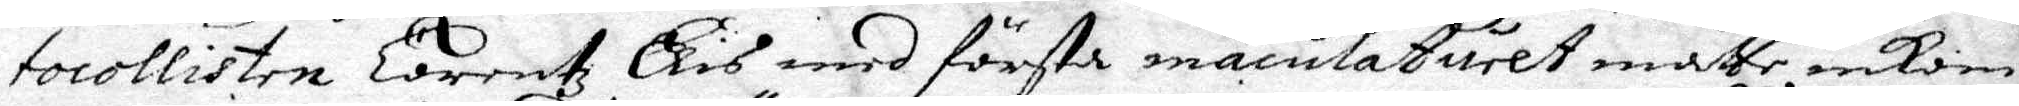tocollisten Lorentz Elis med första maculaturet måtte inkom¬
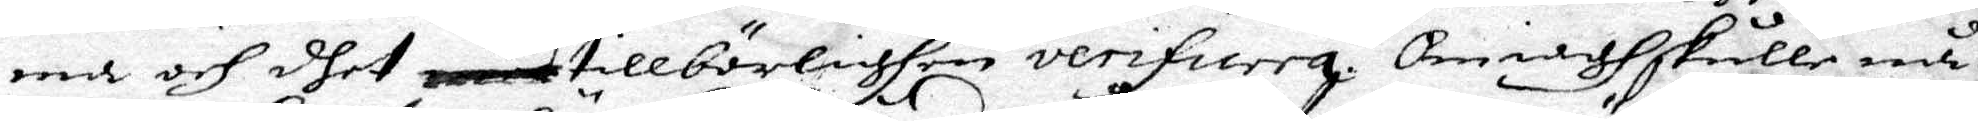ma och dhet ... tillbörlighen verifieera om iagh skulle nå¬
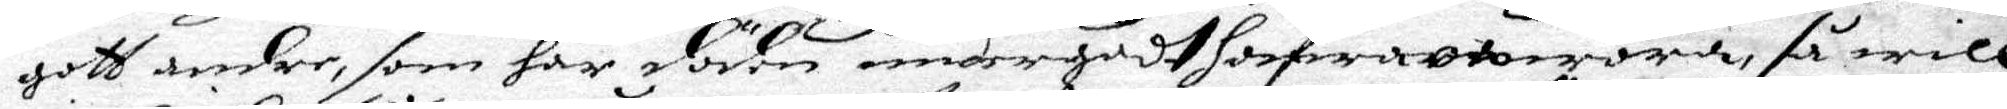gott andre, som här döden undergådt hafwa ... wöra, så will
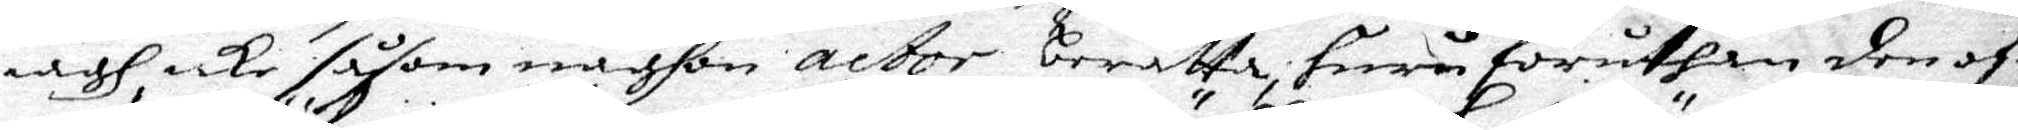iagh icke såsom någhon actor berätta, huru häruthan den of¬
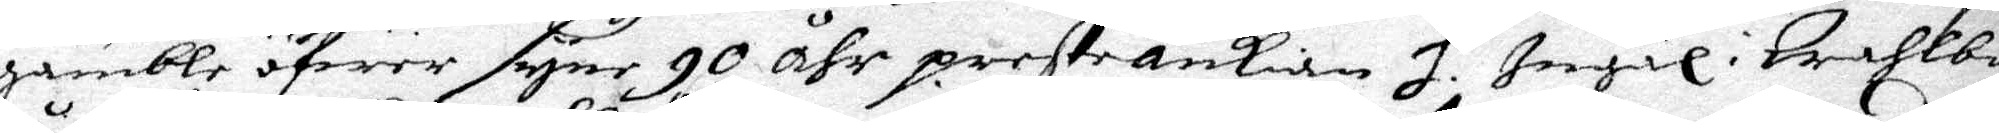gamble öfwer syne 90 åhr preste änkian H. Ingäl i Wahlbo
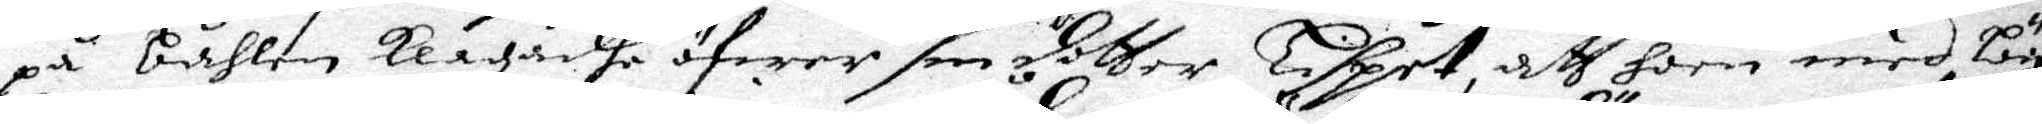på båhlen Klagadhe öfwer son dotter Lispet, att hoon med bägge
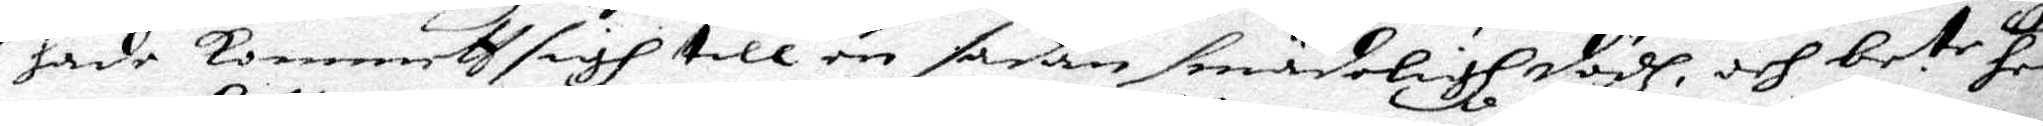hade Kommeth sigh till en sådan smädeligh dödh, och be.te he¬
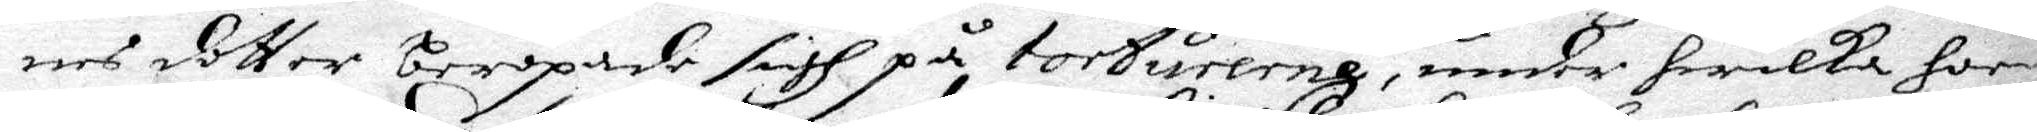nes dotter beropade sigh på torturerna, under hwilka hoon
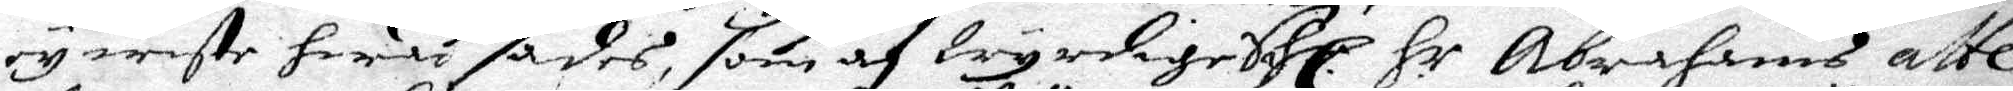ey wete hwad sades, som af Wyrdige Sahl. H.r Abrahams atte¬
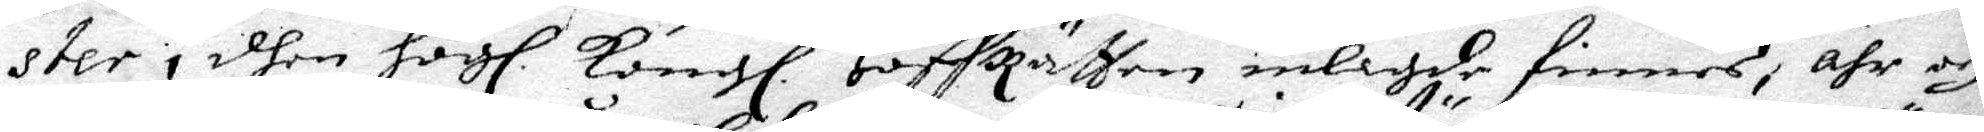ster i dhen Högl. Kongl. HoffRätten inlagde finnes, ähr och 
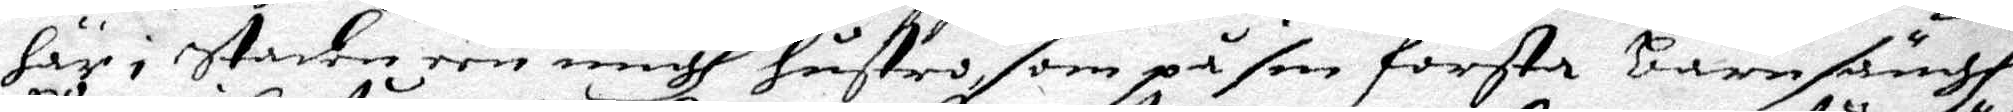här i staden een ungh hustro, som på sin första Barnsängh
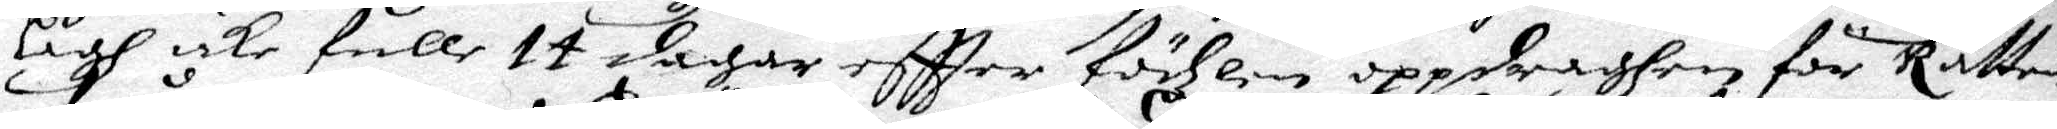Lågh icke fulle 14 dagar effter födzlen oppdraghen för Rätten,
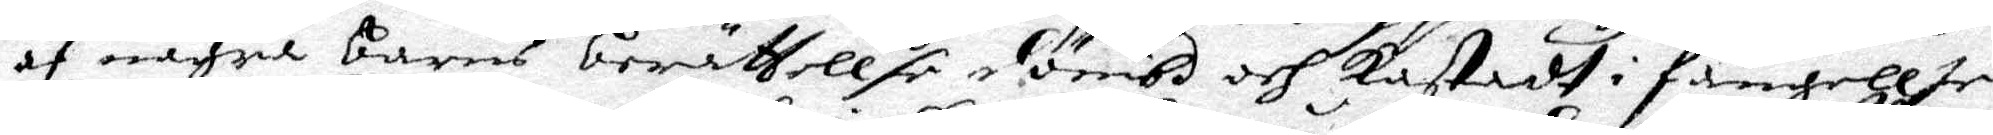af några barns beräthellse dömbd och kastadh i fängellse
